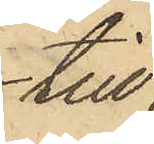till
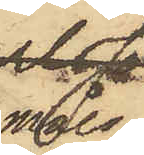måls¬
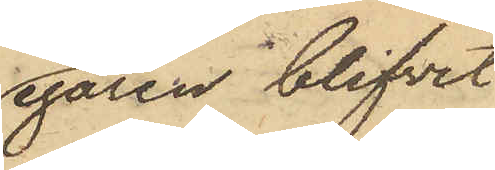egaren blifvit
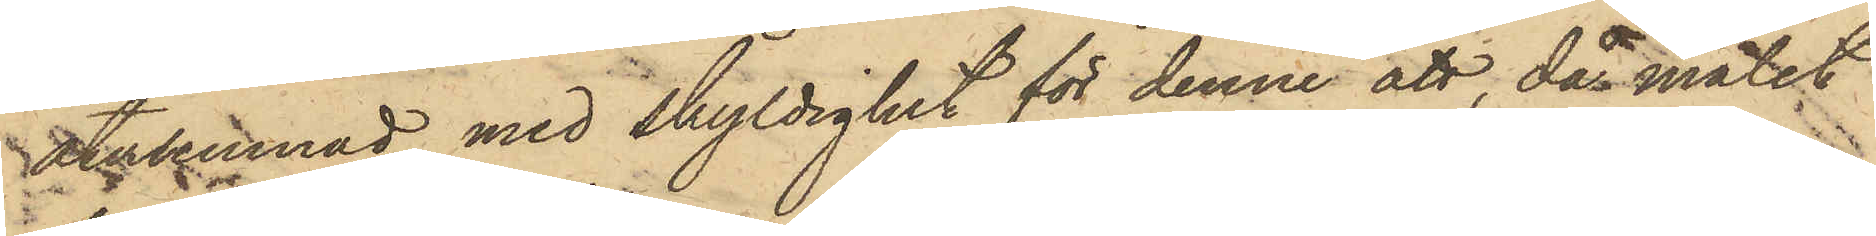återlemnad med skyldighet för denne att, då målet
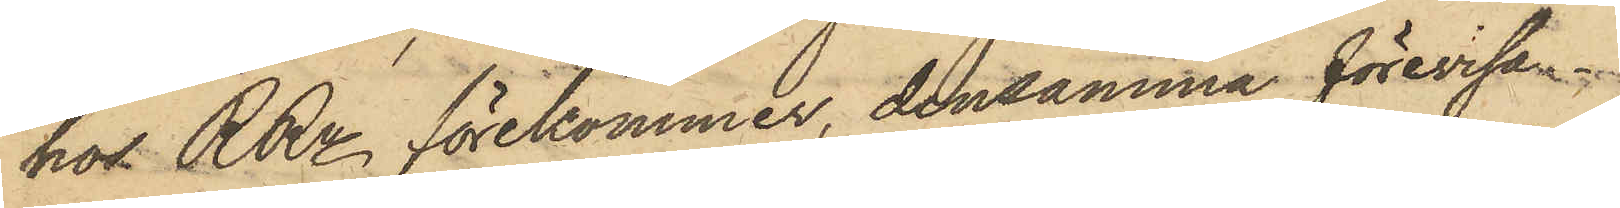hos RRn förekommer, densamma förevisa.
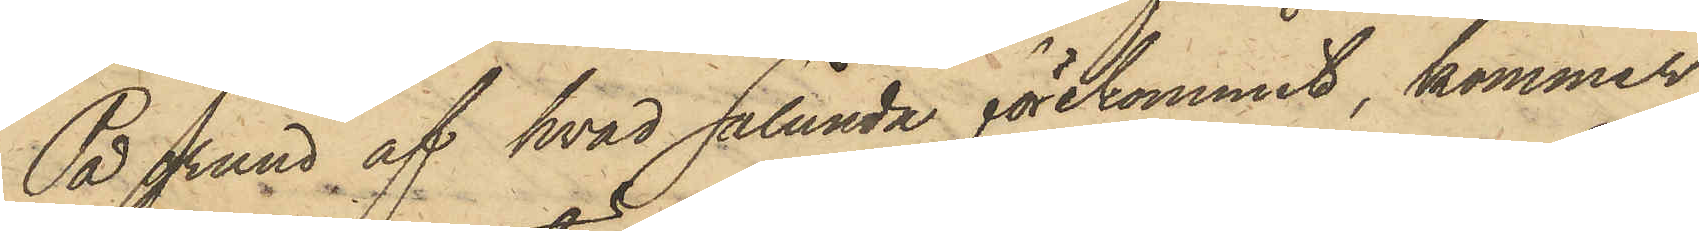På grund af hvad sålunda förekommit, kommer
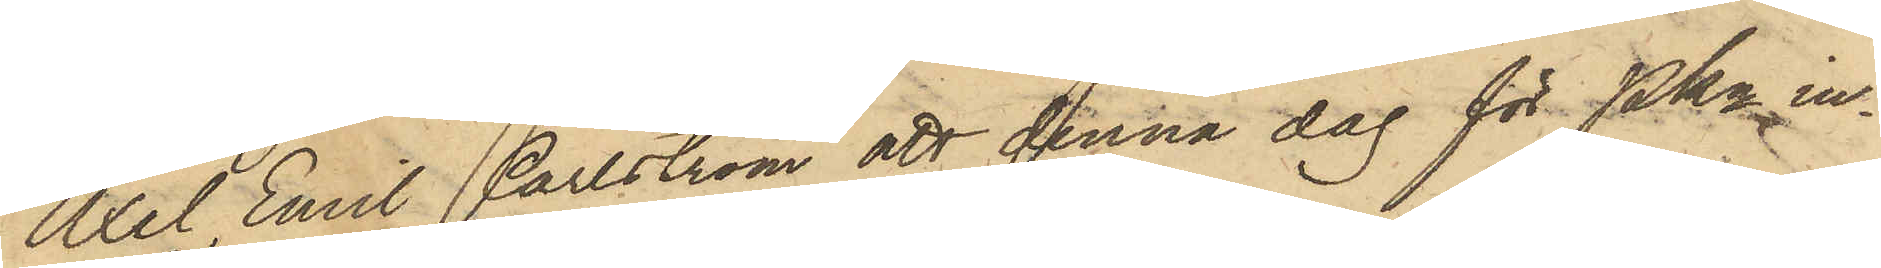Axel Emil Carlström att denna dag för Pkn in¬
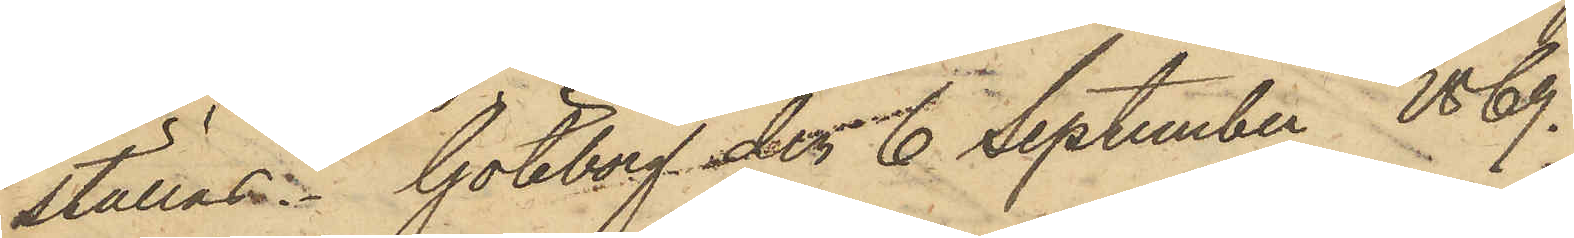ställas. Göteborg den 6 September 1869.
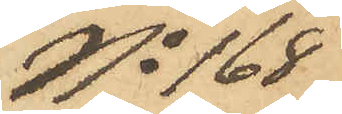No 168
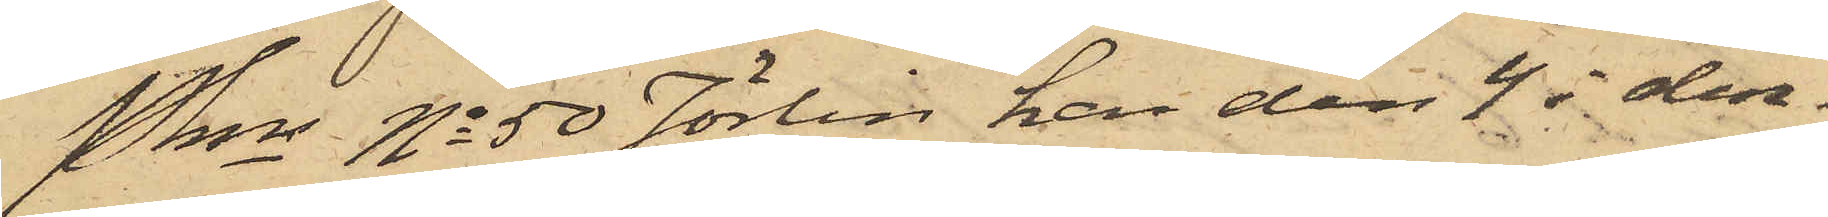Pkn No 50 Jörlin har den 4 i den¬
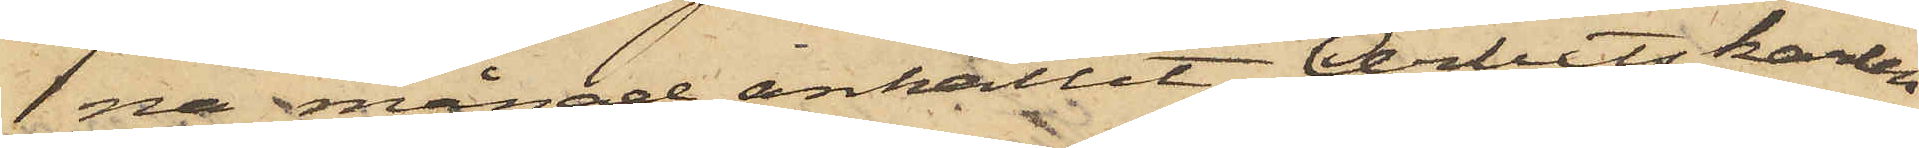na månad anhållit Arbetskarlen
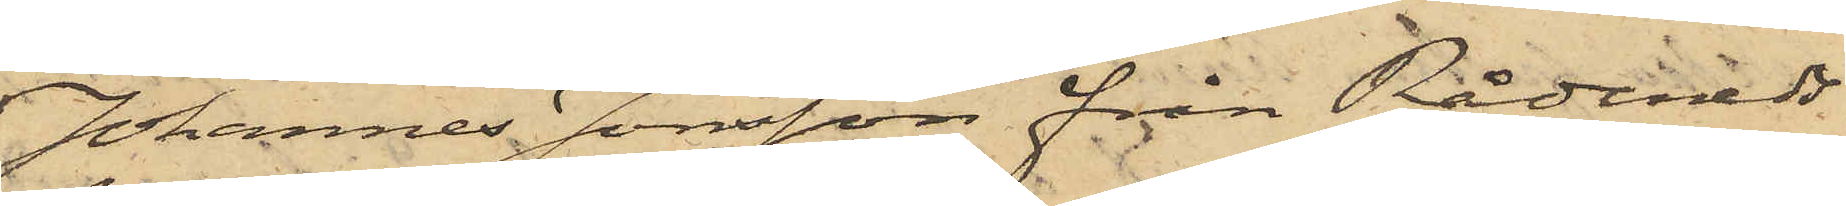Johannes Jonsson från Rådeneds
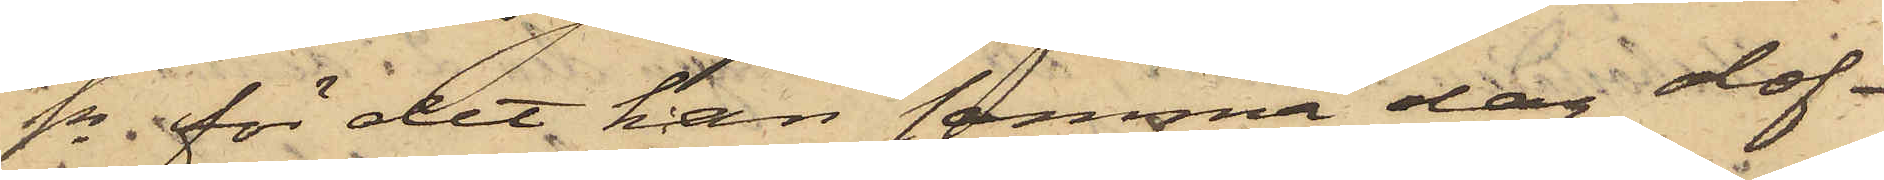Sn för det han samma dag olof¬
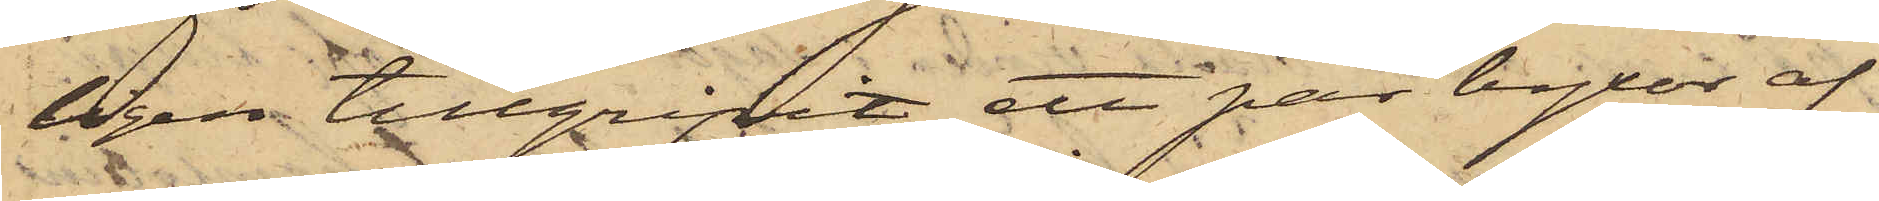ligen tillgripit ett par byxor af
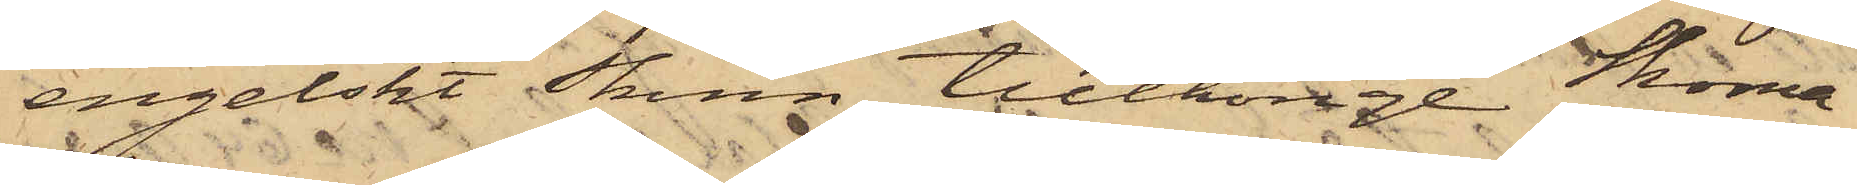engelskt Skinn, tillhörige Skoma¬
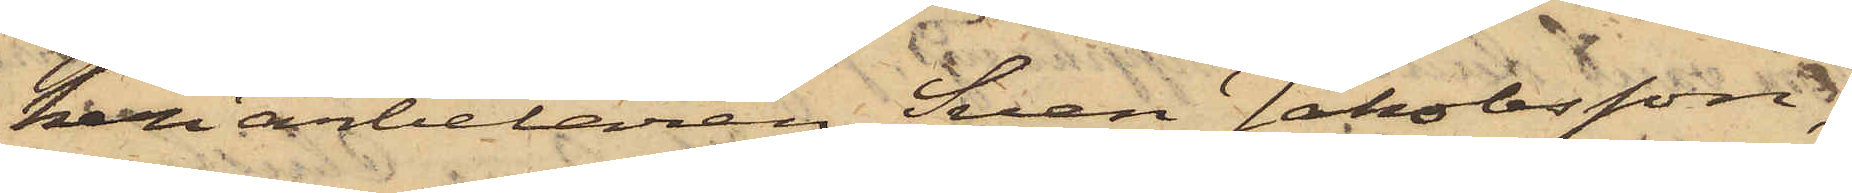keriarbetaren Sven Jakobsson,
